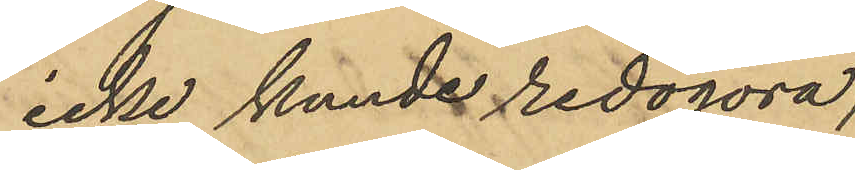icke kunde redogöra;
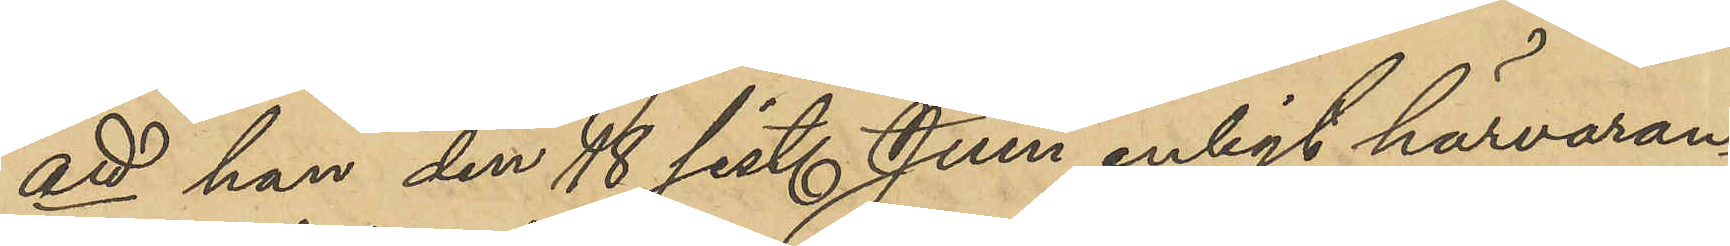att han den 18 sist. Juni enligt härvaran¬
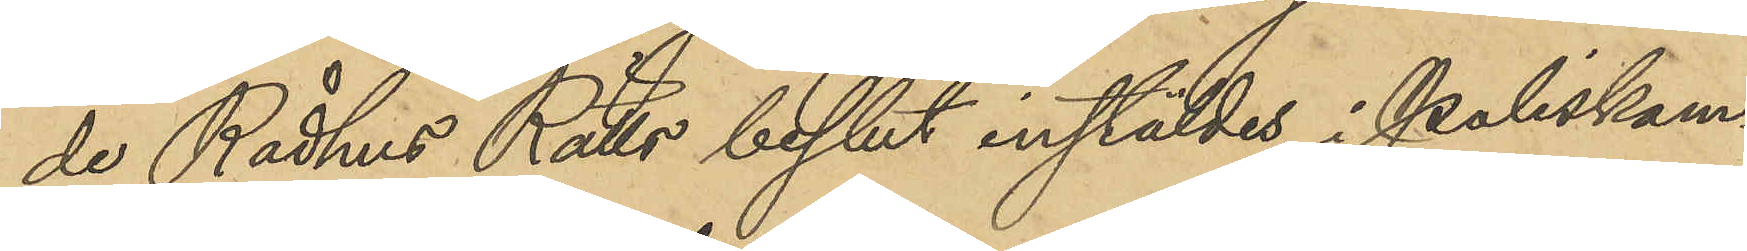de Rådhus Rätts beslut instäldes i Poliskam¬
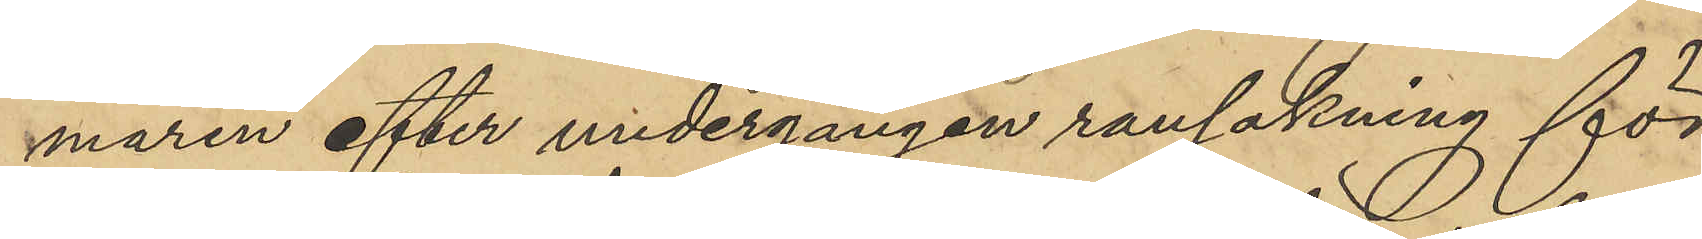maren efter undergången rannsakning för
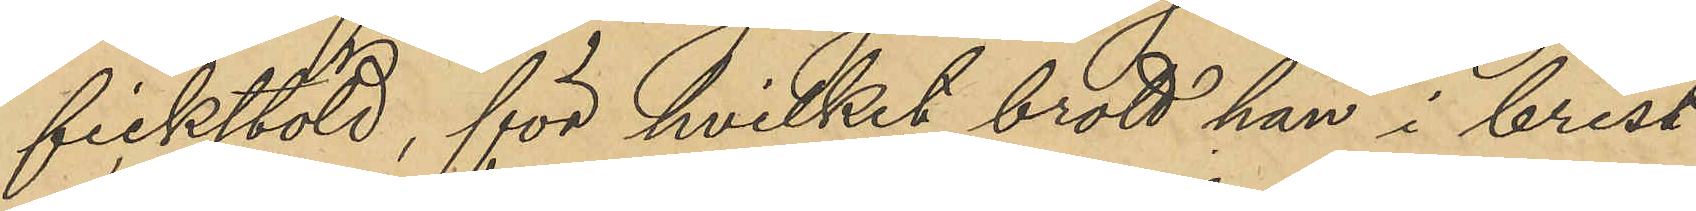fickstöld, för hvilket brott han i brist
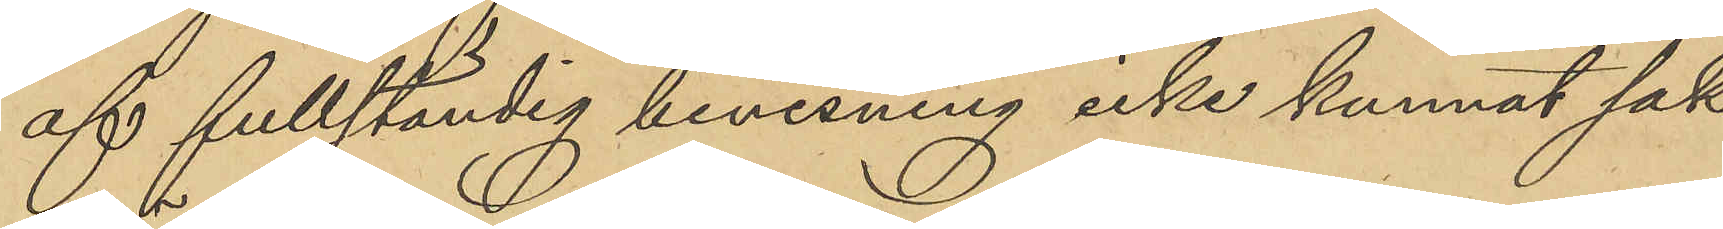af fullständig bevisning icke kunnat sak¬
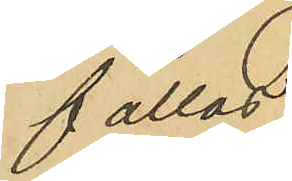fällas;
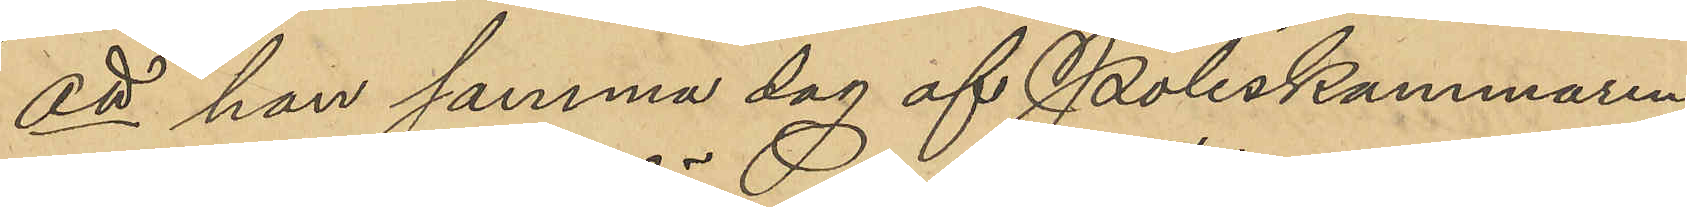att han samma dag af Poliskammaren
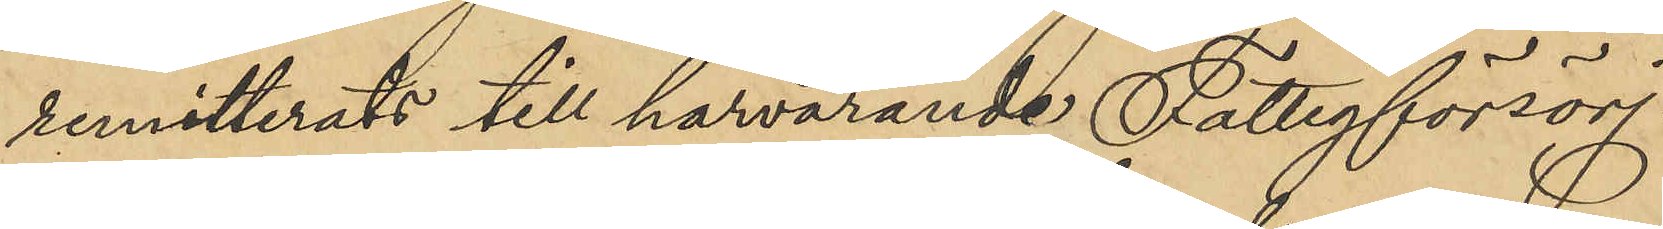remitterats till härvarande Fattigförsörj¬
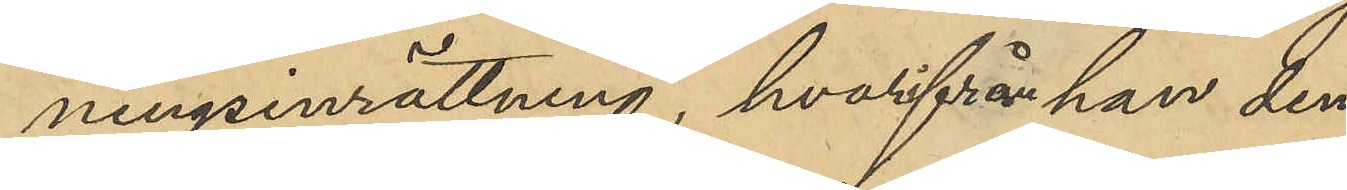ningsinrättning, hvarifrån han den
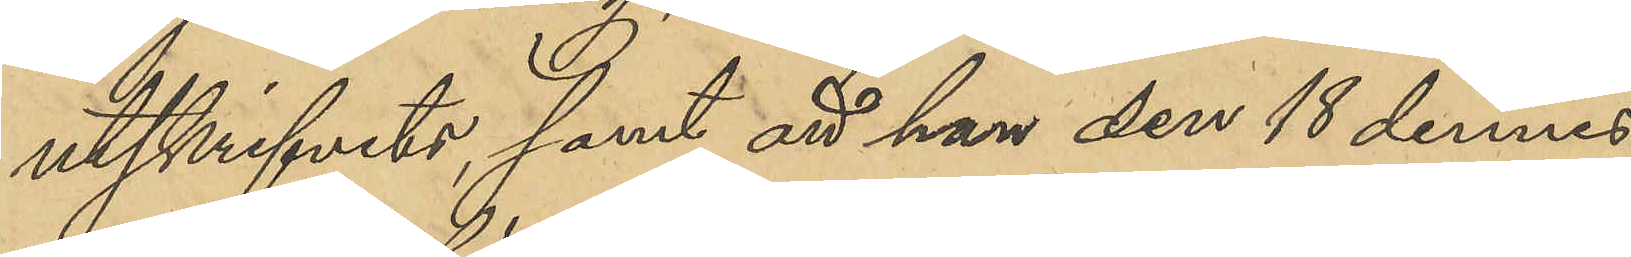utskrifvits, samt att han den 18 dennes
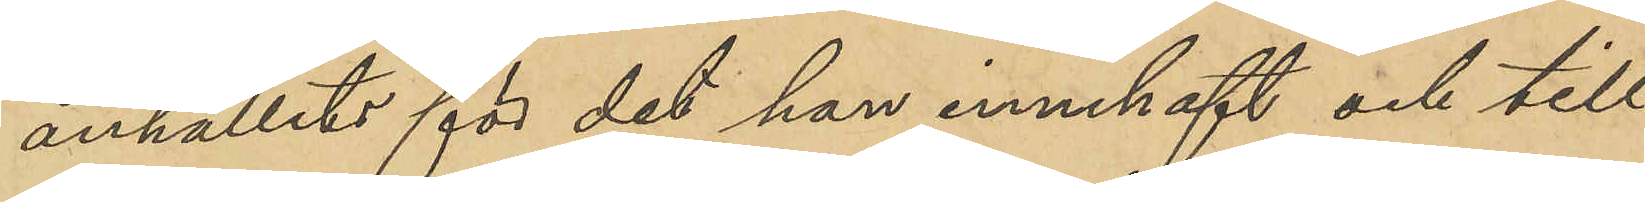anhållits för det han innehaft och till
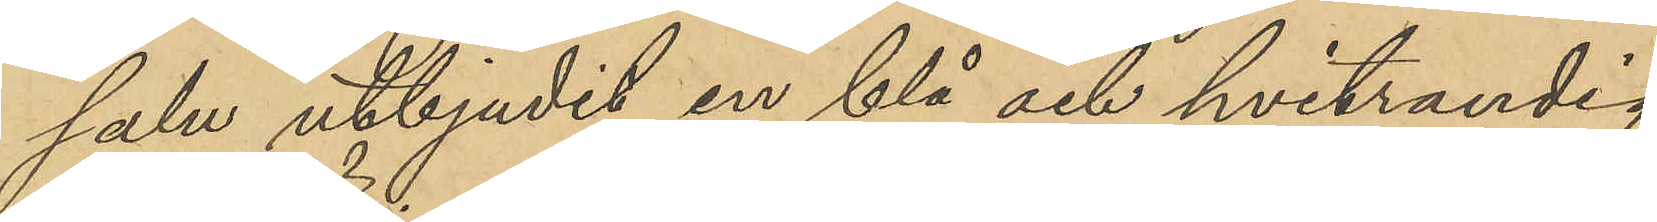salu utbjudit en blå och hvitrandig
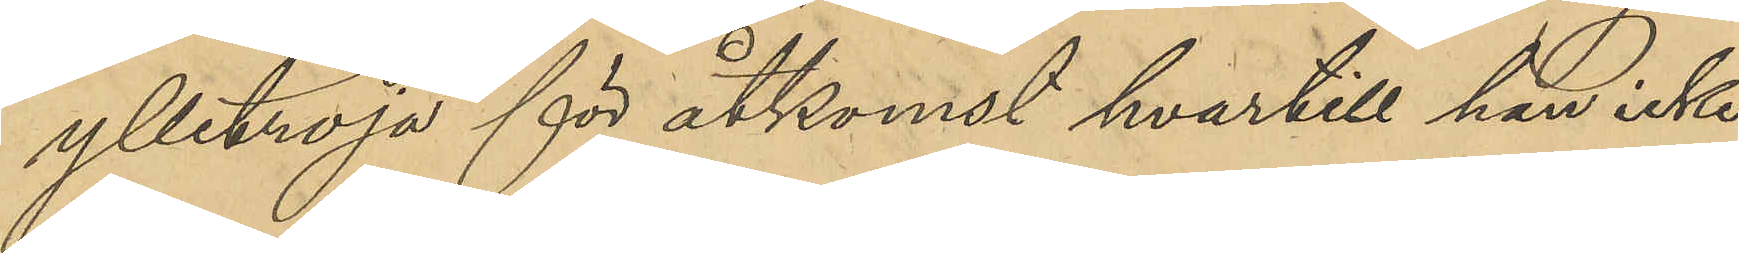ylletröja för åtkomst hvartill han icke
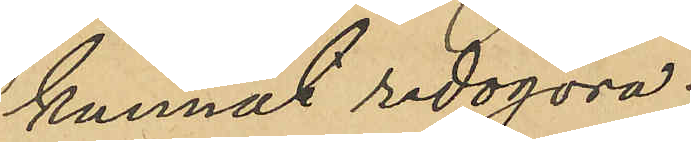kunnat redogöra.
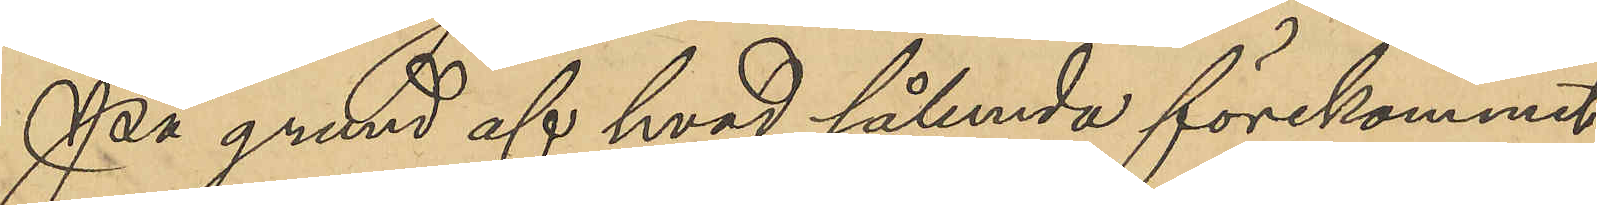På grund af hvad sålunda förekommit
